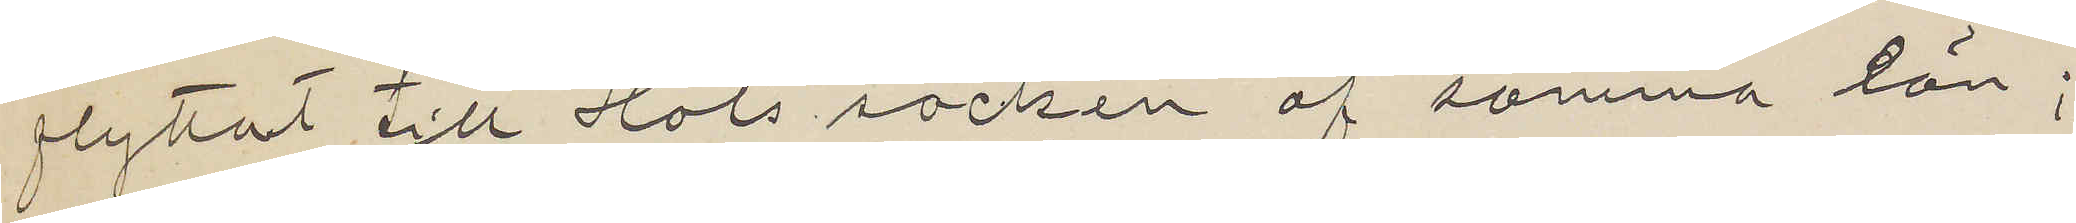flyttat till Hols socken af samma län;
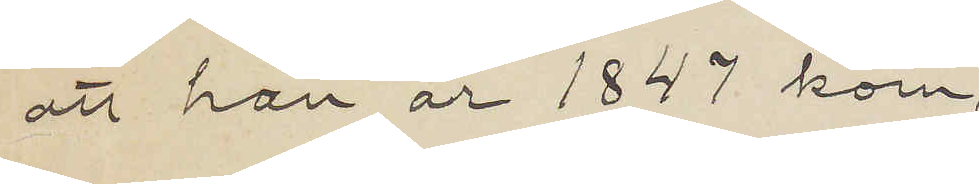att han år 1847 kom¬
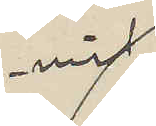mit
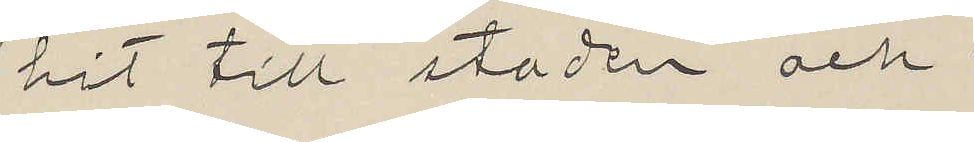hit till staden och
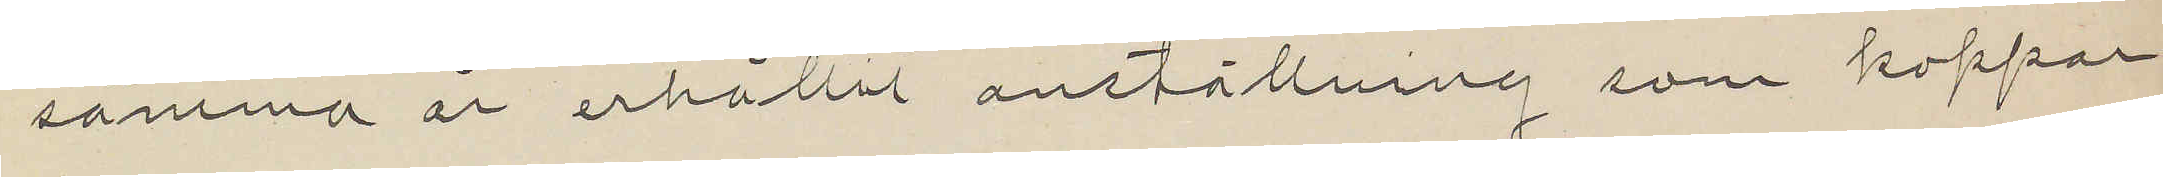samma år erhållit anställning som koppar¬
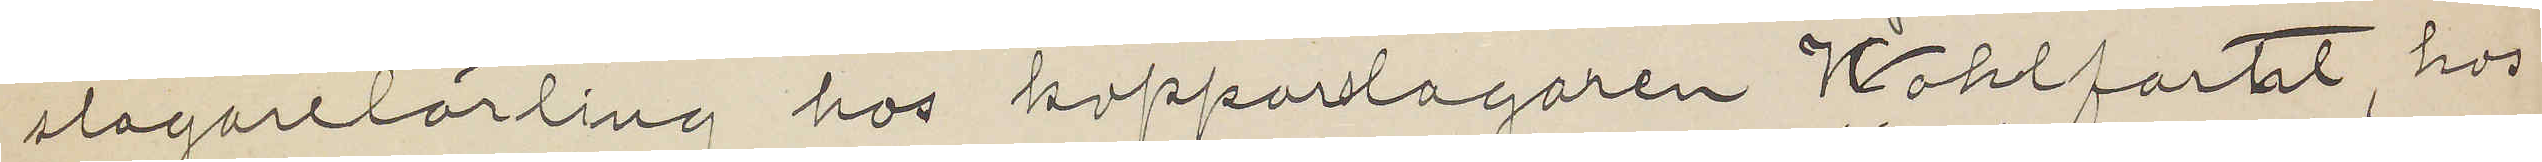slagaretlärling hos kopparslagaren Wohlfahrt, hos
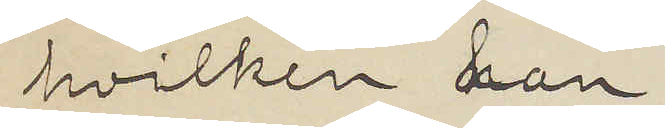hvilken han
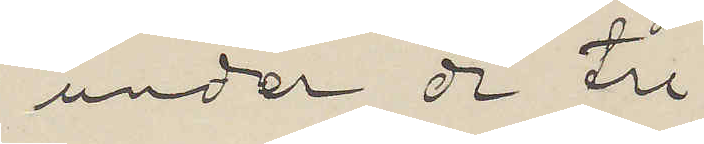under de tre
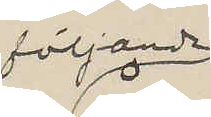följande
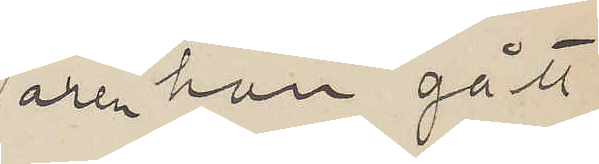åren han gått
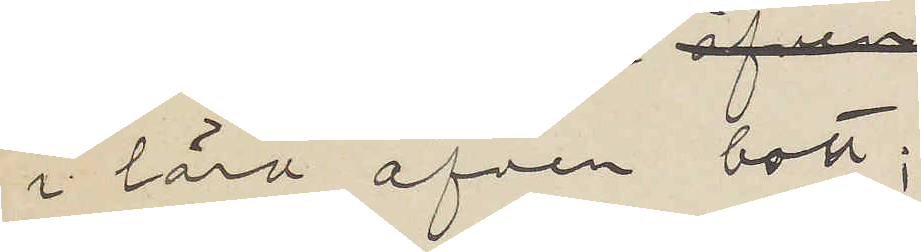i lära äfven bott;
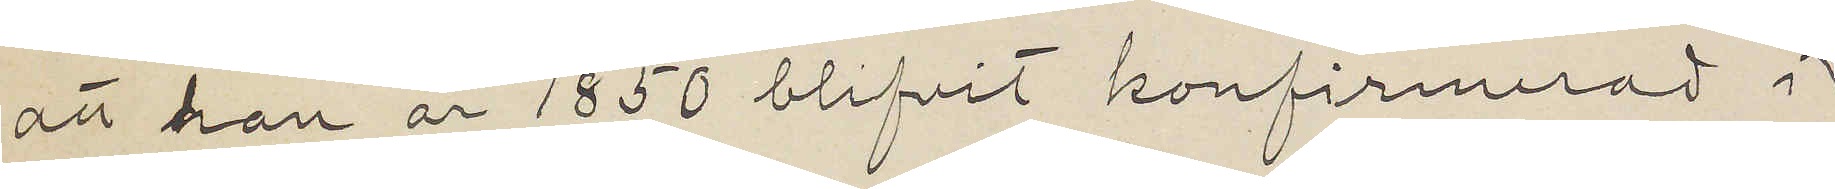att han år 1850 blifvit konfirmerad i
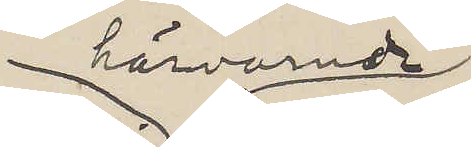härvarade
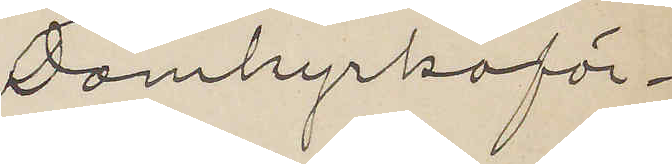Domkyrkoför¬
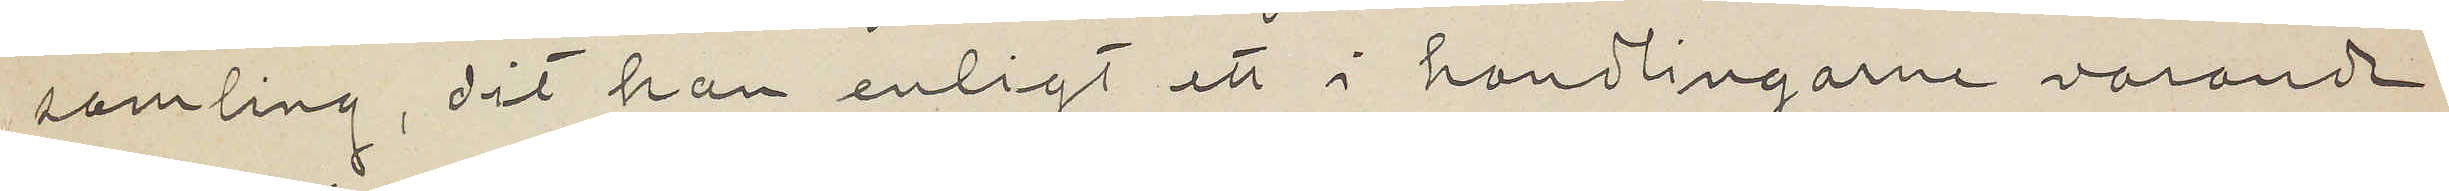samling, dit han enligt ett i handlingarne varande
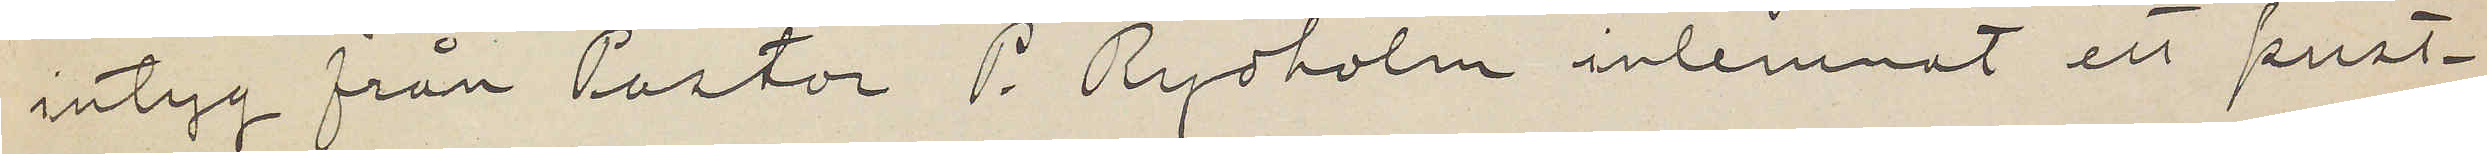intyg från Pastor P. Rydholm inlemnat ett prest¬
